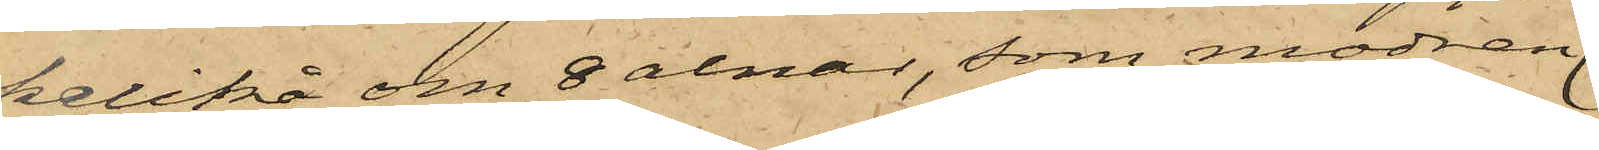kalikå om 8 alnar, som modren
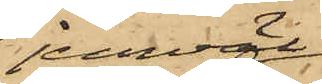jemväl
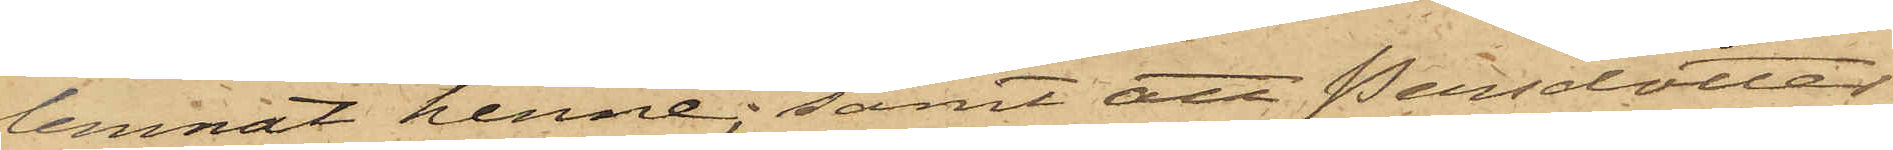lemnat henne; samt att Persdotter
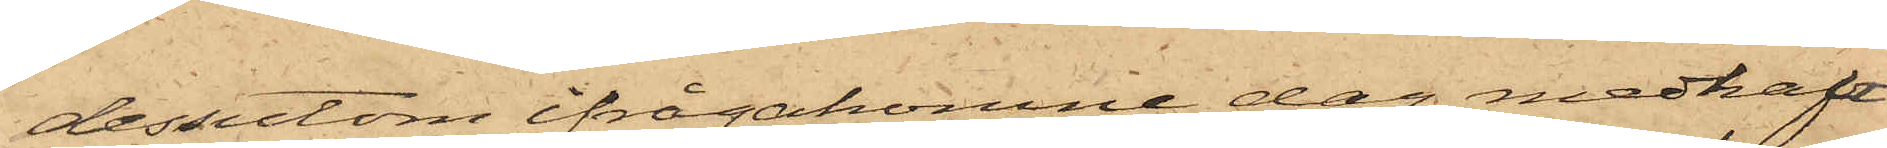dessutom ifrågakomne dag medhaft
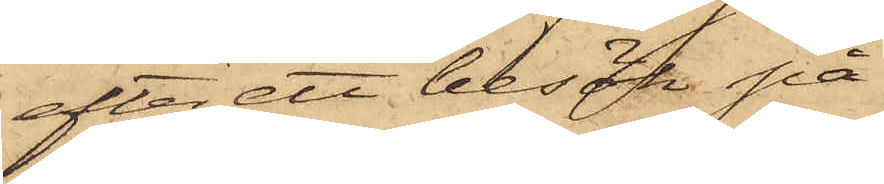efter ett besök på
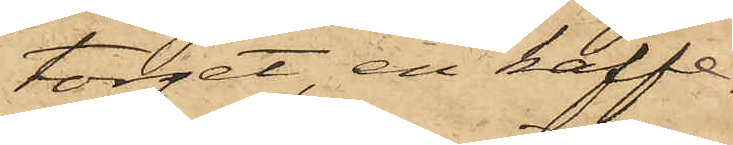torget, en kaffe¬
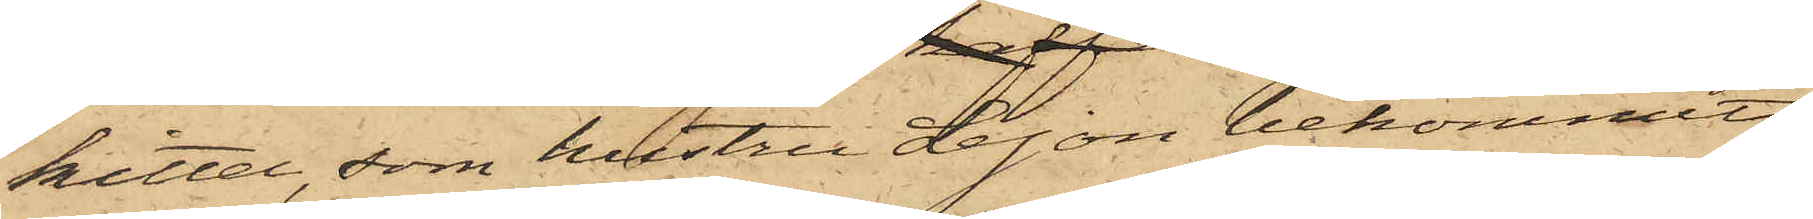kittel, som hustru Lejon bekommit;
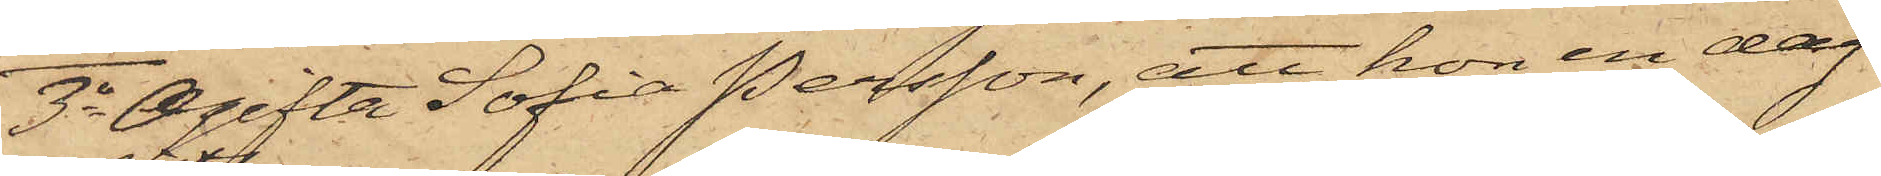3o Ogifta Sofia Persson, att hon en dag
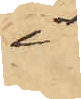i
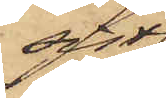sist
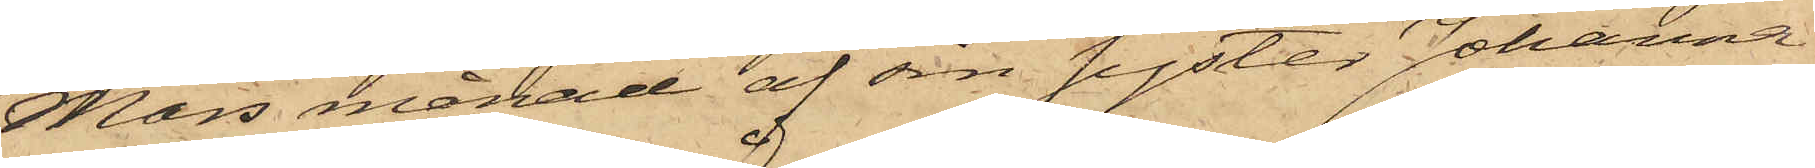Mars månad af sin syster Johanna
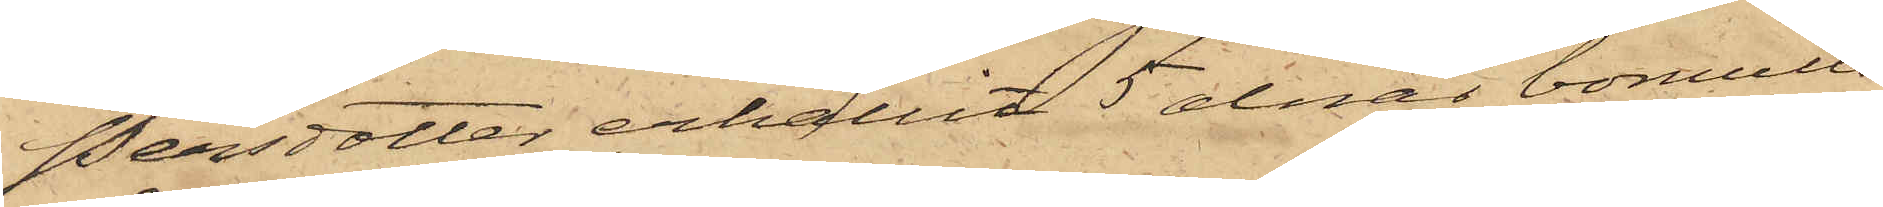Persdotter erhållit 5 alnar bomulls¬
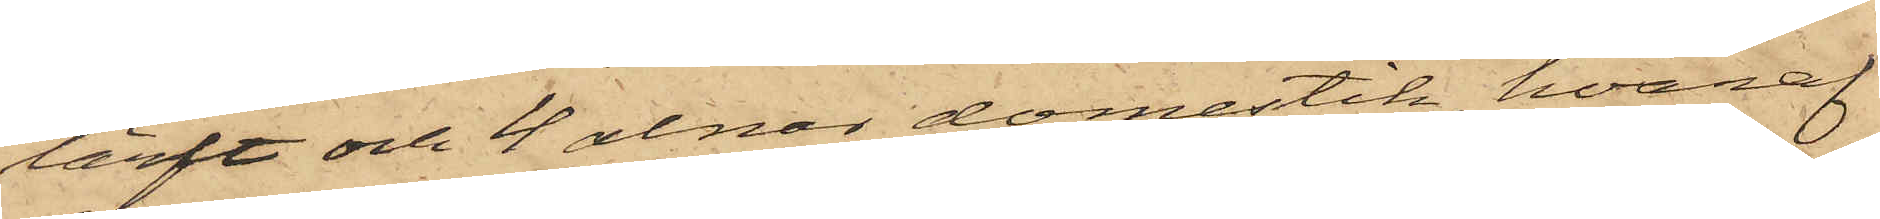lärft och 4 alnar domestik, hvaraf
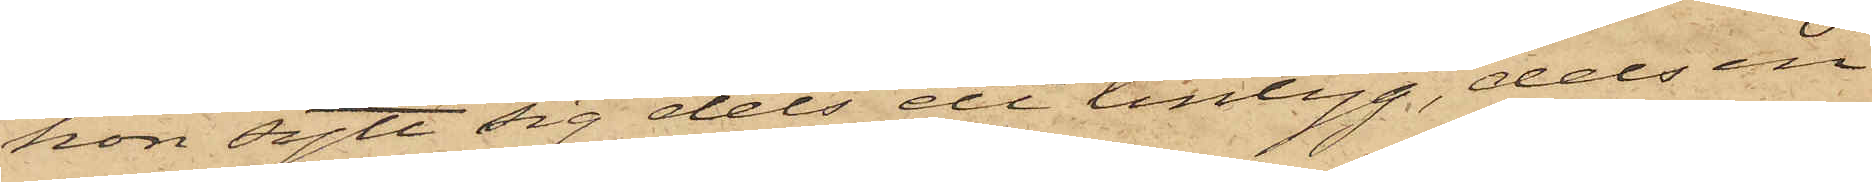hon sytt sig dels ett lintyg, dels en
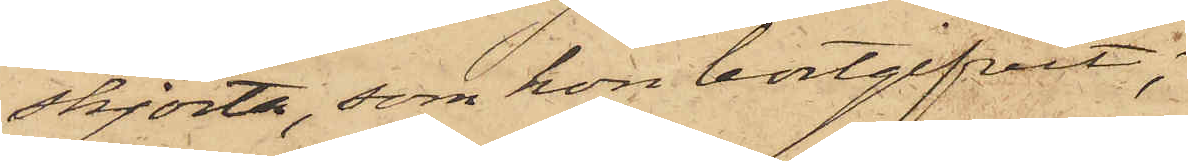skjorta, som hon bortgifvit;
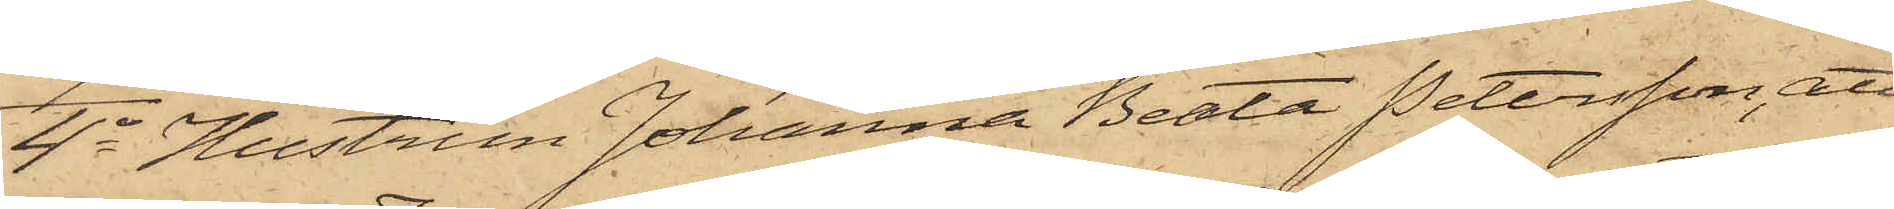4o Hustrun Johanna Beata Petersson, att
